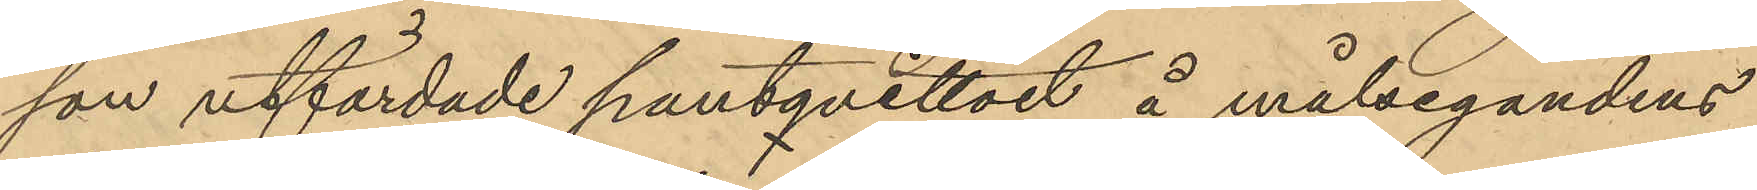son utfärdade pantqvittot å målsegandens
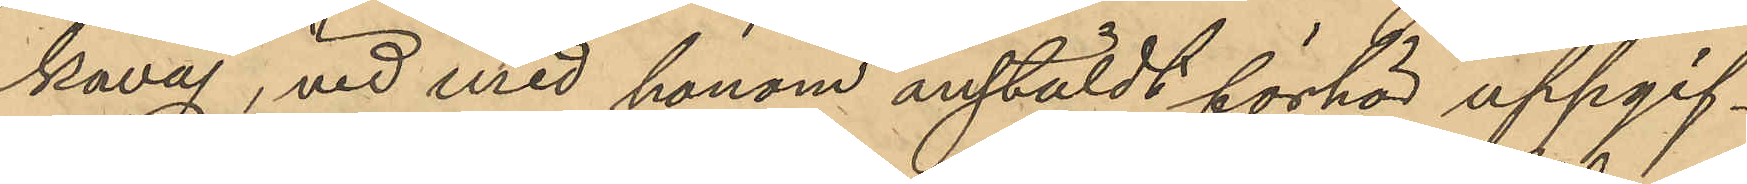kavaj, vid med honom anstäldt förhör uppgif¬
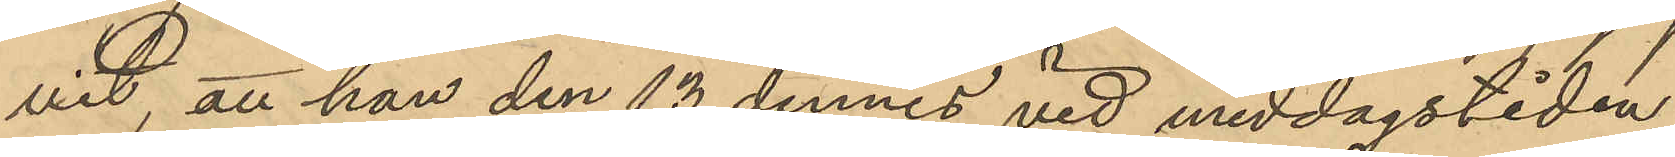vit, att han den 13 dennes vid middagstiden
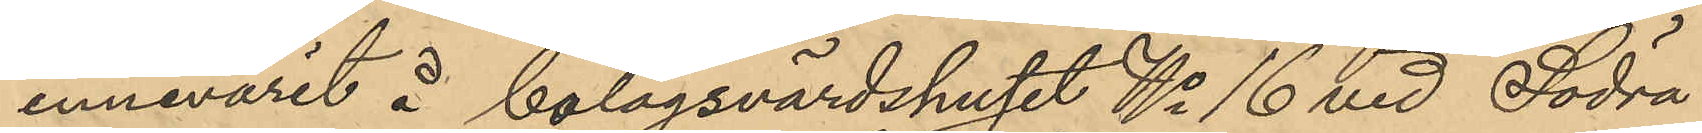innevarit å bolagsvärdshuset No 16 vid Södra
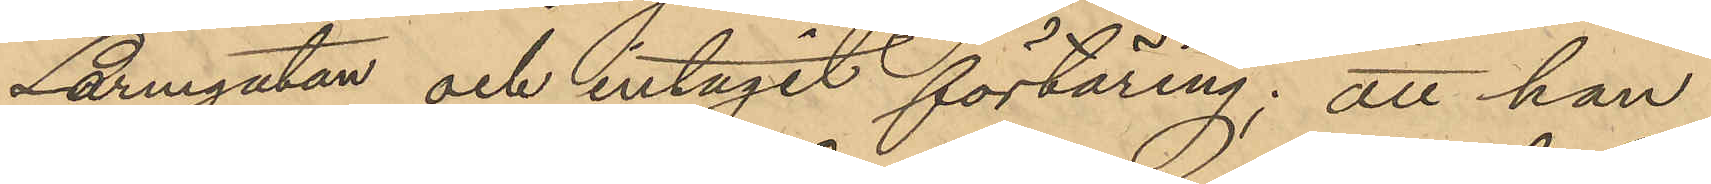Larmgatan och intagit förtäring; att han
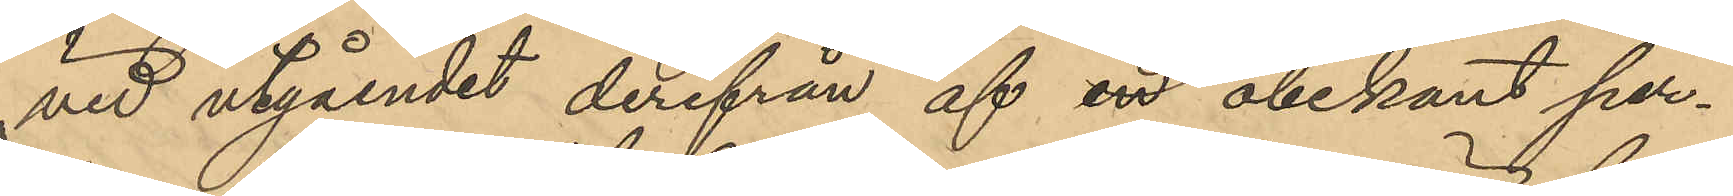vid utgåendet derifrån af en obekant per¬
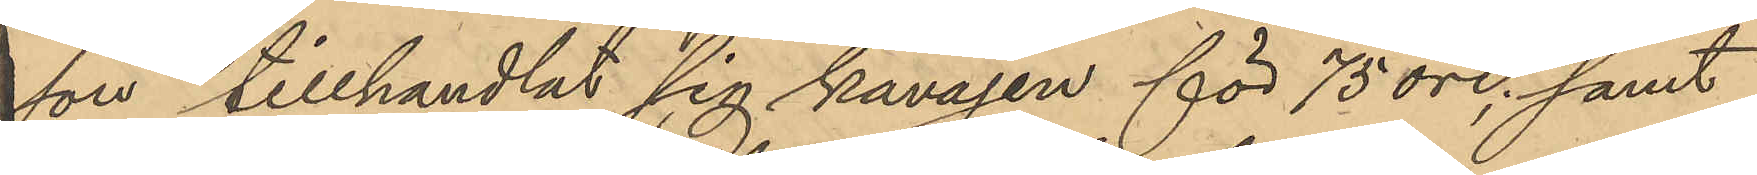son tillhandlat sig kavajen för 75 öre; samt
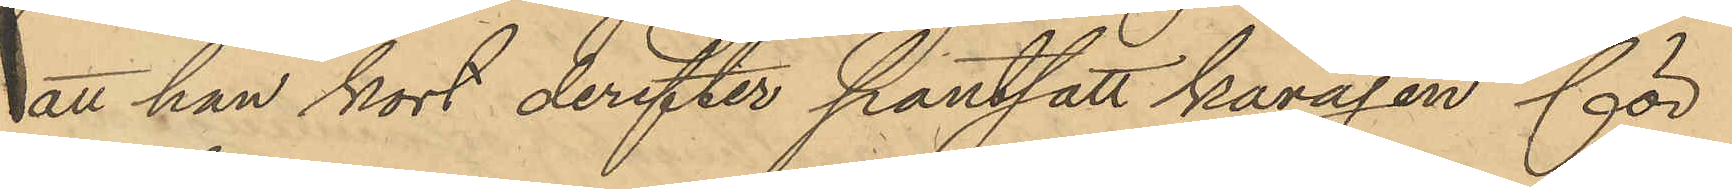att han kort derefter pantsatt kavajen för
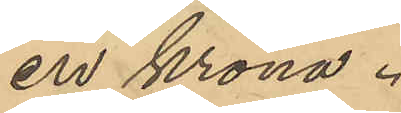en krona.
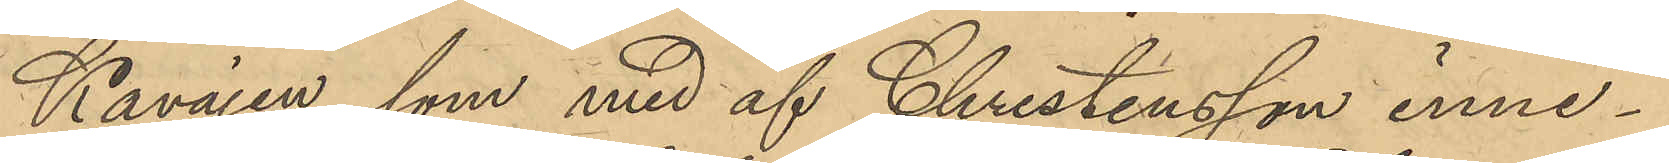Kavajen, som med af Christensson inne¬
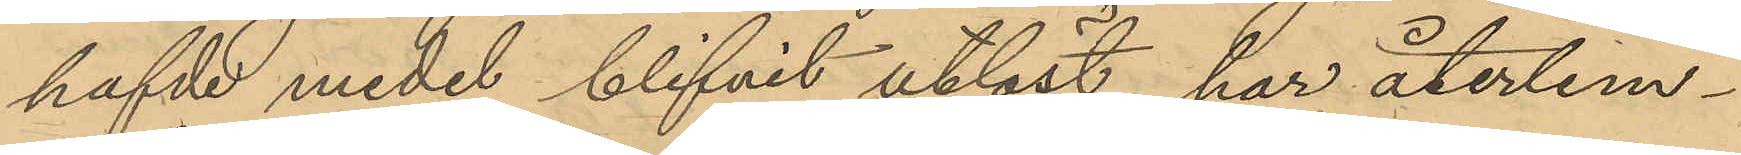hafde medel blifvit utlöst har återlem¬
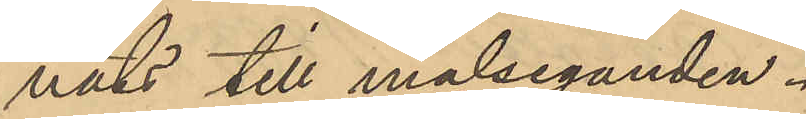nats till målseganden.
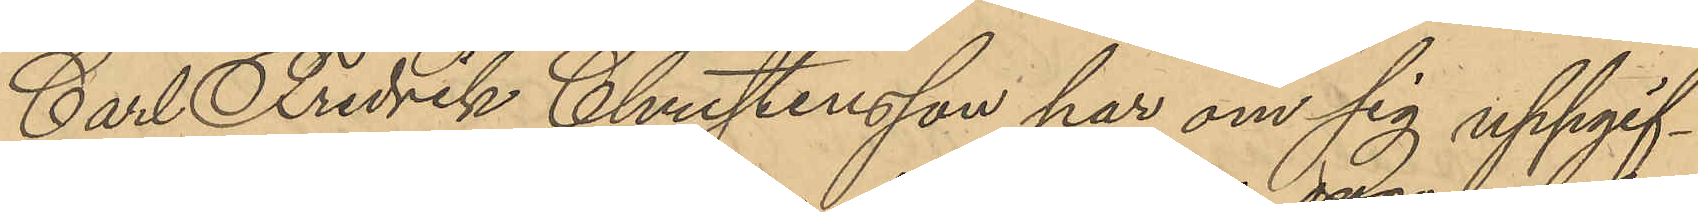Carl Fredrik Christensson har om sig uppgif¬
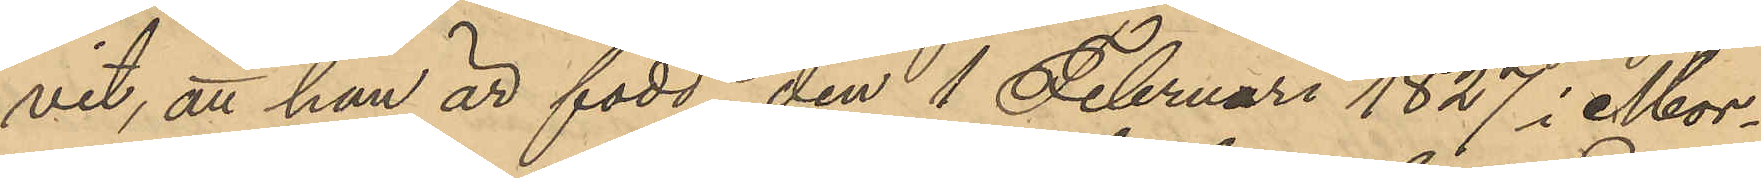vit, att han är född den 1 Februari 1827 i Mor¬
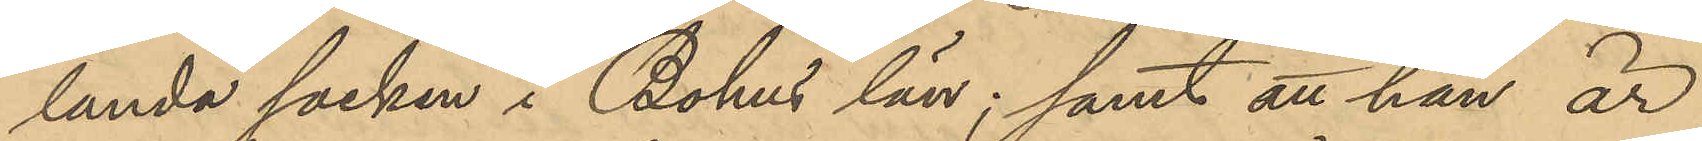landa socken i Bohus län; samt att han är
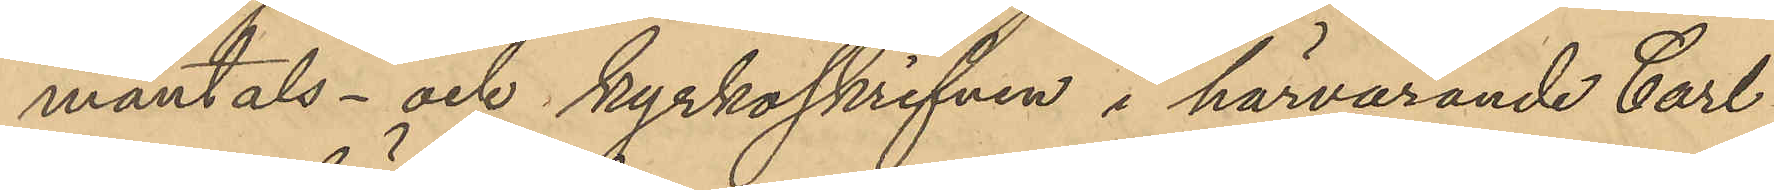mantals- och kyrkoskrifven i härvarande Carl
